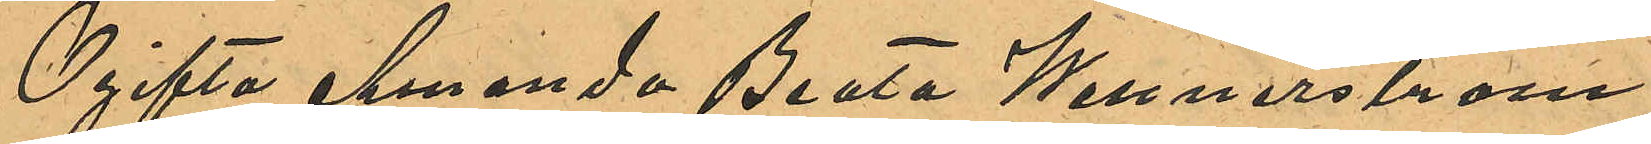Ogifta Amanda Beata Wennerström
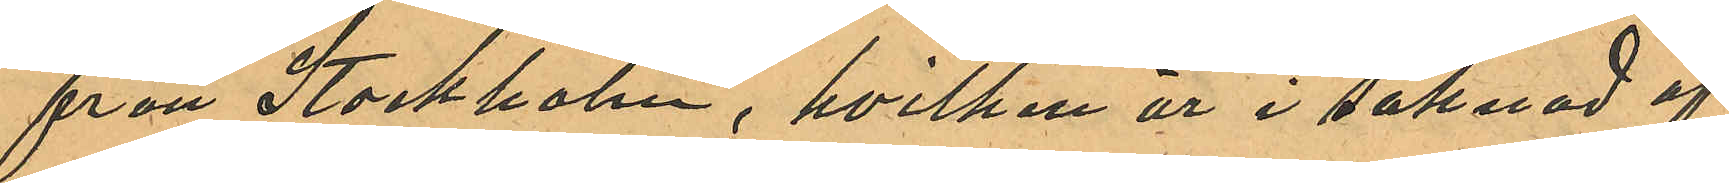från Stockholm, hvilken är i saknad af
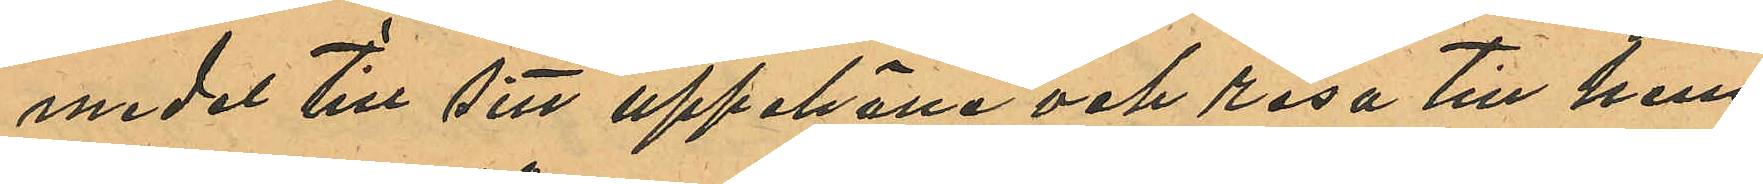medel till sitt uppehälle och resa till hem
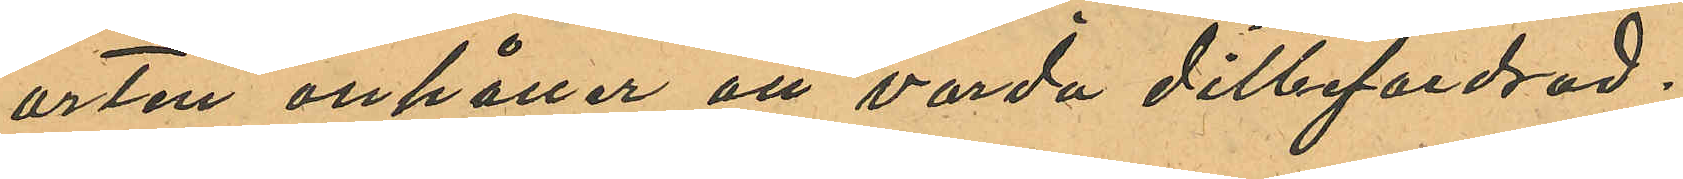orten anhåller att värda ditbefordrad.
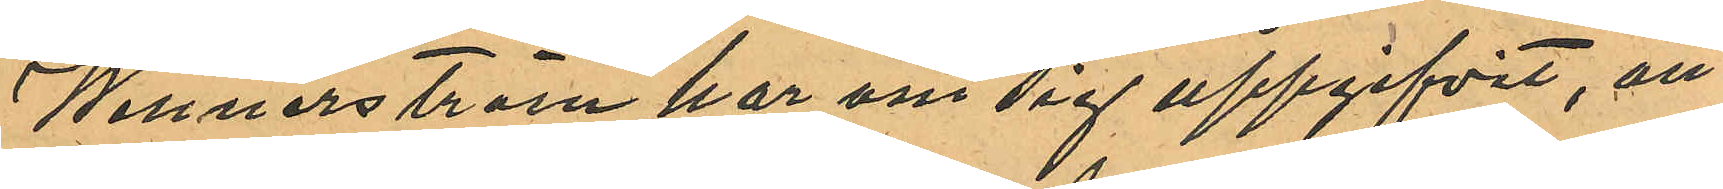Wennerström har om sig uppgifvit, att
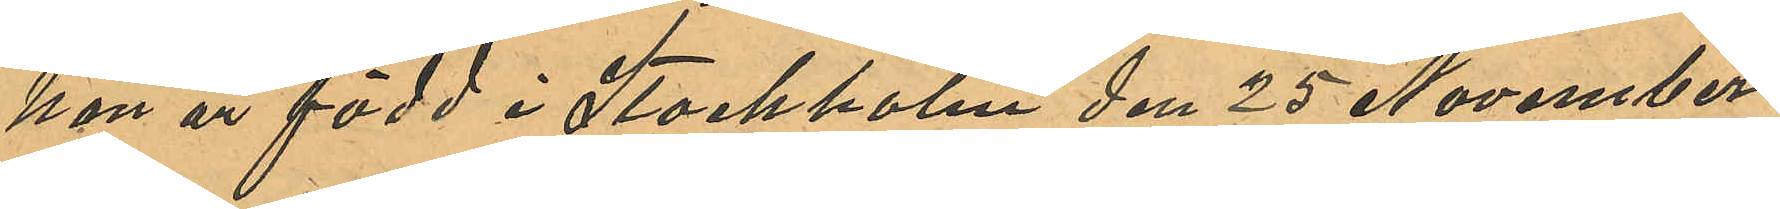hon är född i Stockholm den 25 November
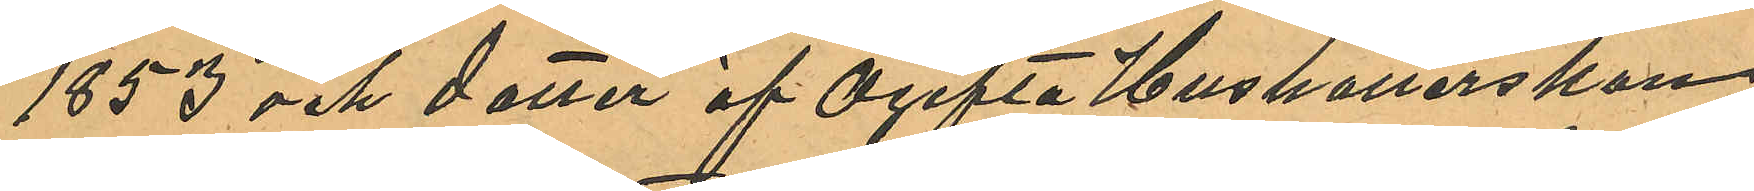1853 och dotter af Ogifta Hushållerskan
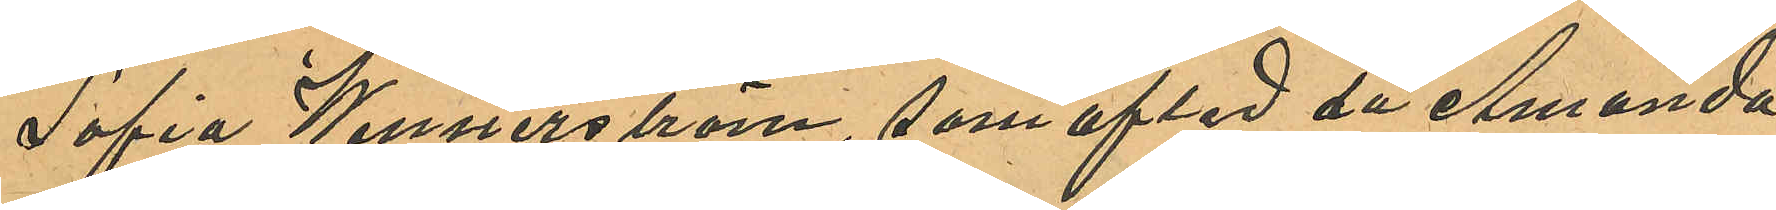Sofia Wennerström, som afled då Amanda
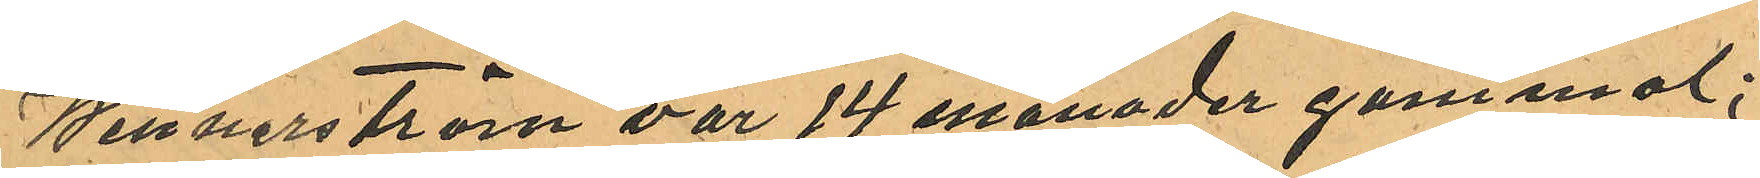Wennerström var 14 månader gammal;
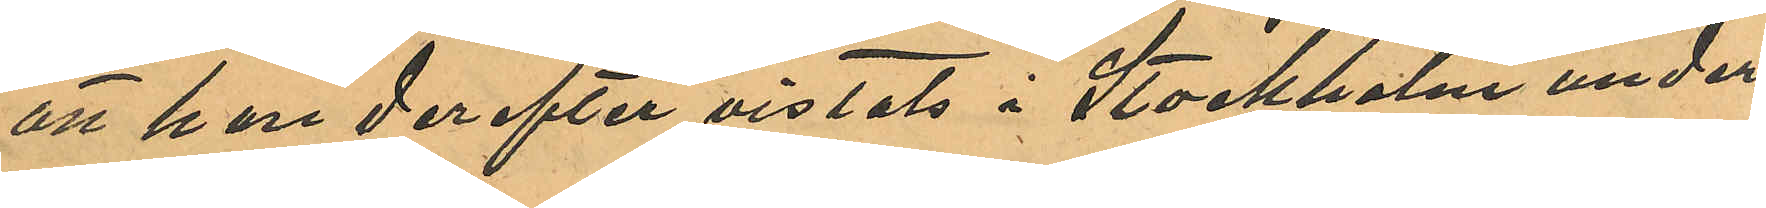att hon derefter vistats i Stockholm under
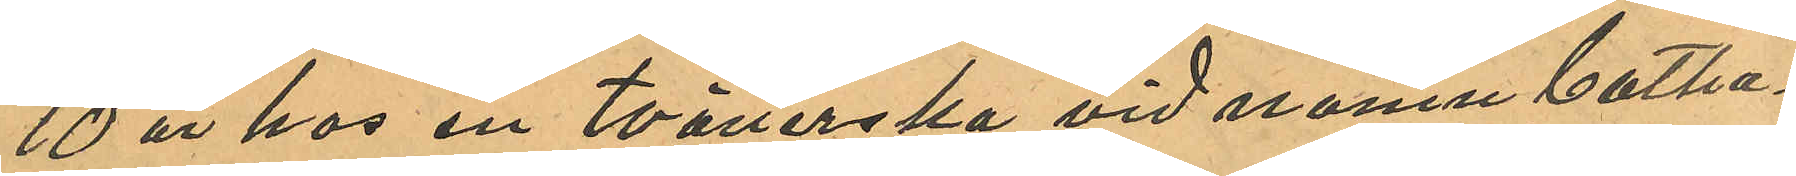10 år hos en tvätterska vid namn Catha¬
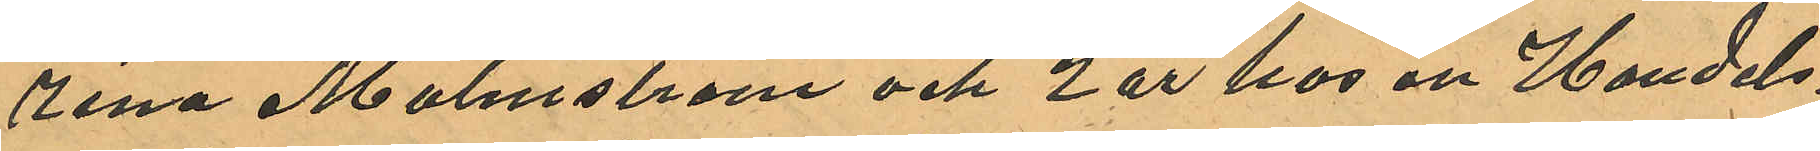rina Malmström och 2 år hos en Handels¬
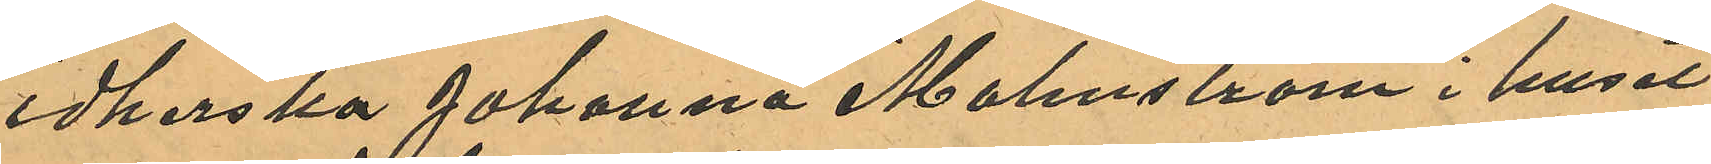idkerska Johanna Malmström i huset
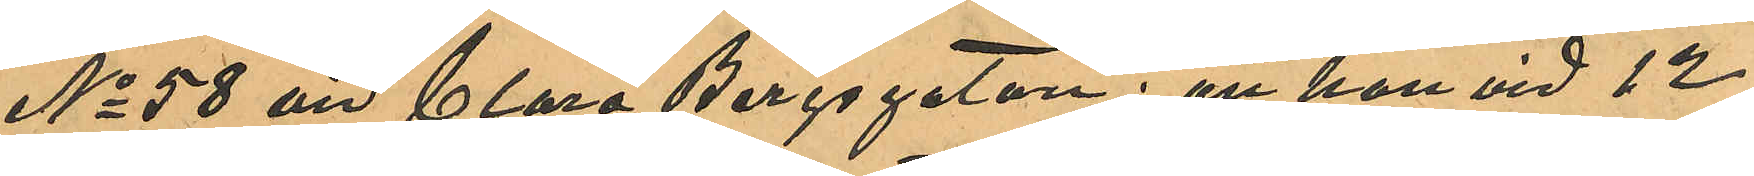No 58 vid Clara Bergsgatan; att hon vid 12
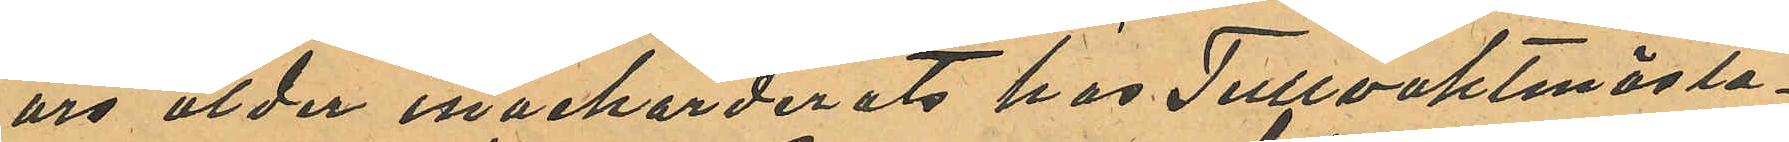års ålder inackorderats hos Tullvaktmästa¬
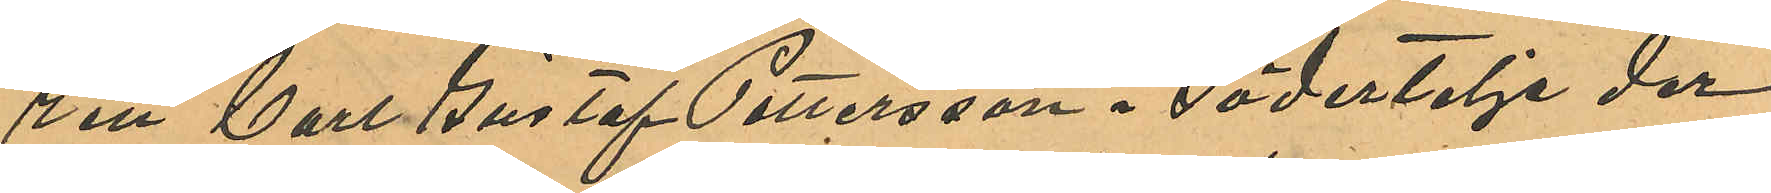ren Carl Gustaf Pettersson i Södertelje der
